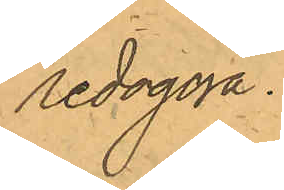redogöra.
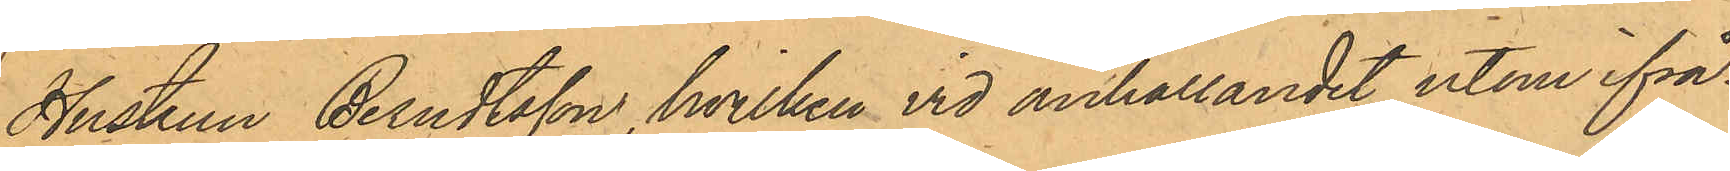Hustrun Berndtsson, hvilken vid anhållandet utom ifrå¬
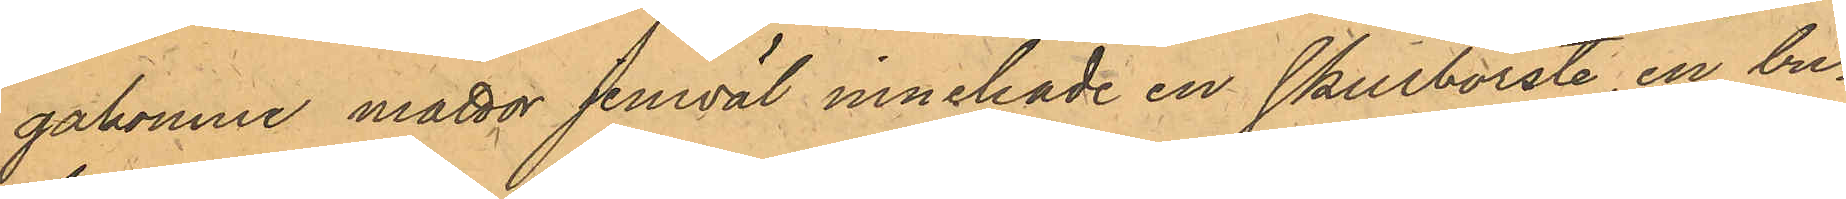gakomne mattor jemväl innehade en Skurborste, en bu¬
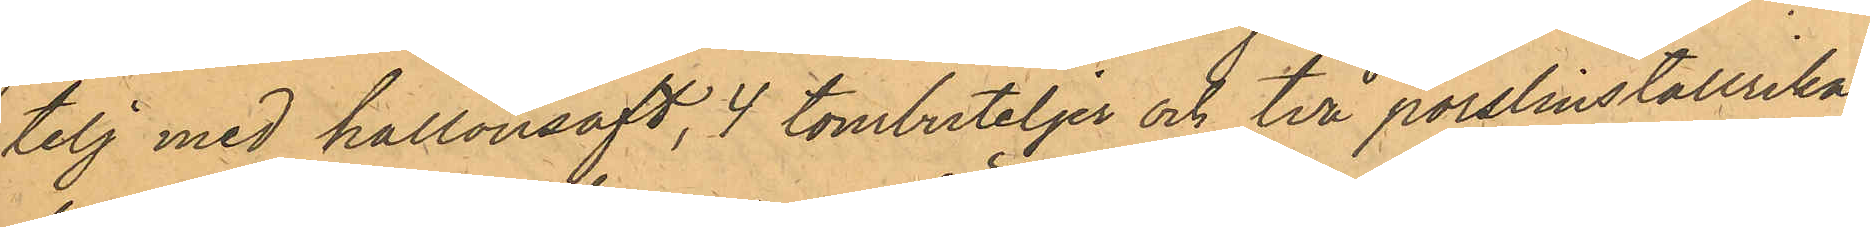telj med hallonsaft, 4 tombuteljer och två porslinstallrikar,
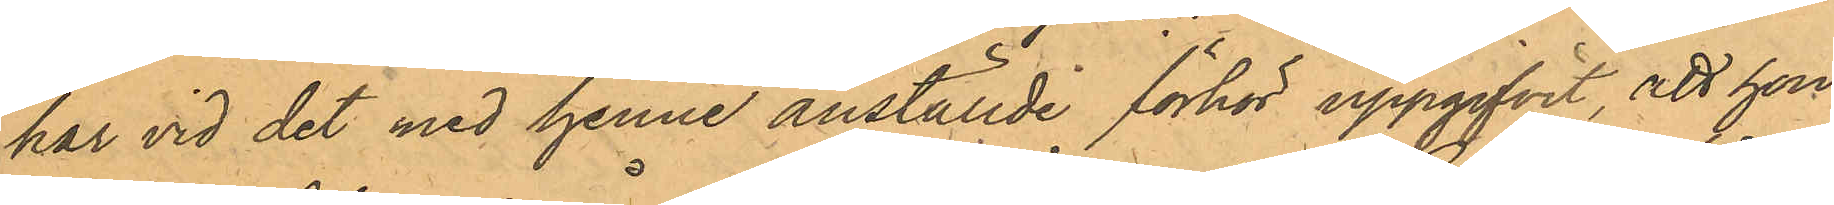har vid det med henne anställde förhör uppgifvit, att hon
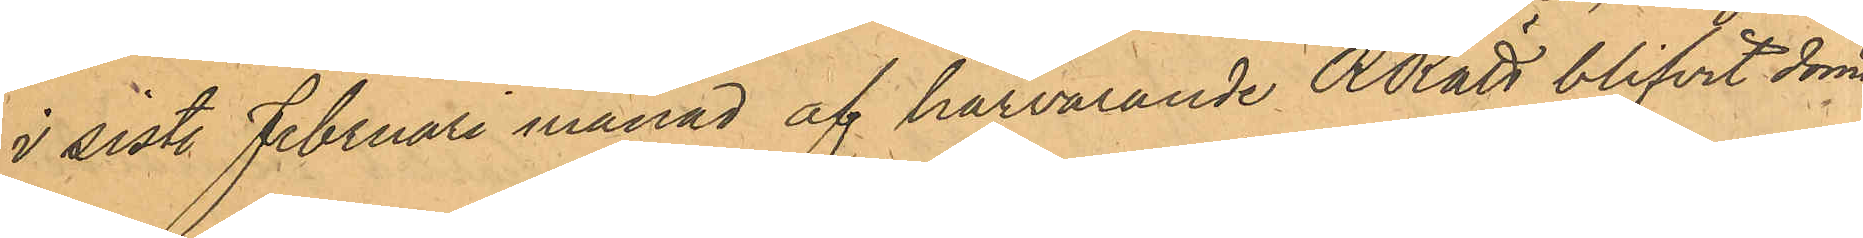i sistl. Februari månad af härvarande RRätt blifvit dömd
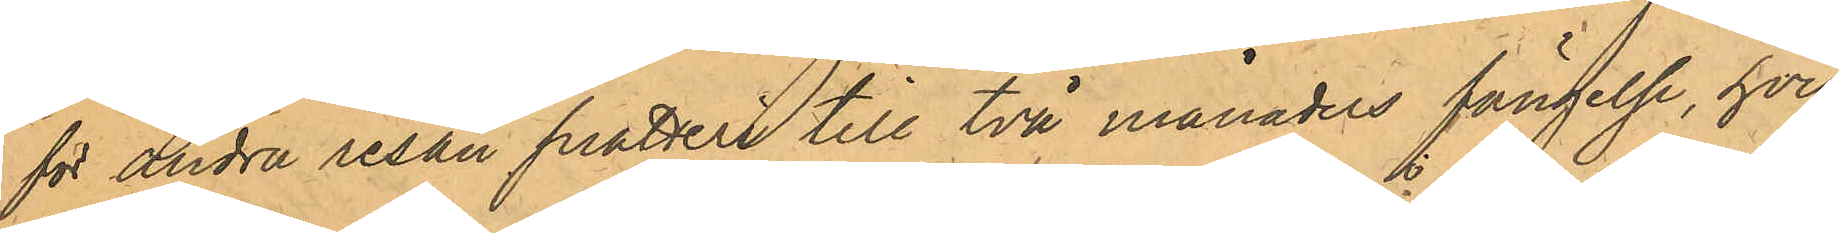för andra resan snatteri till två månaders fängelse, hvil¬
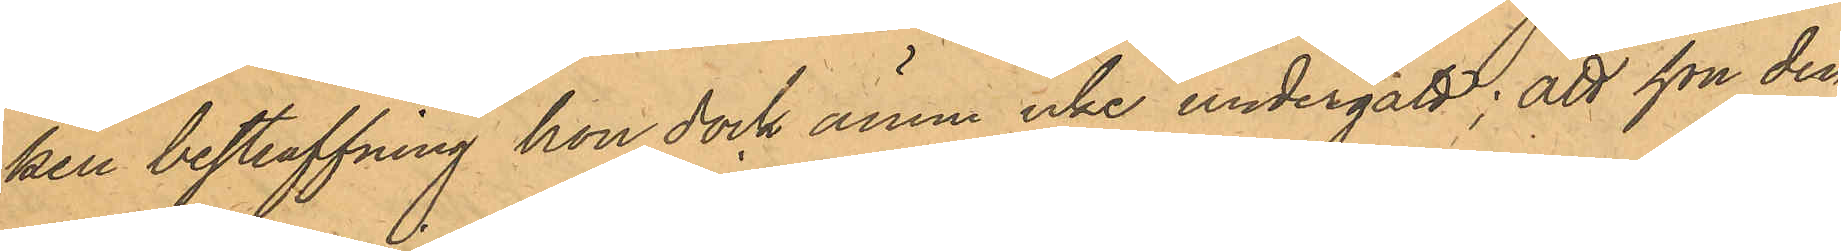ken bestraffning hon dock ännu icke undergått; att hon den
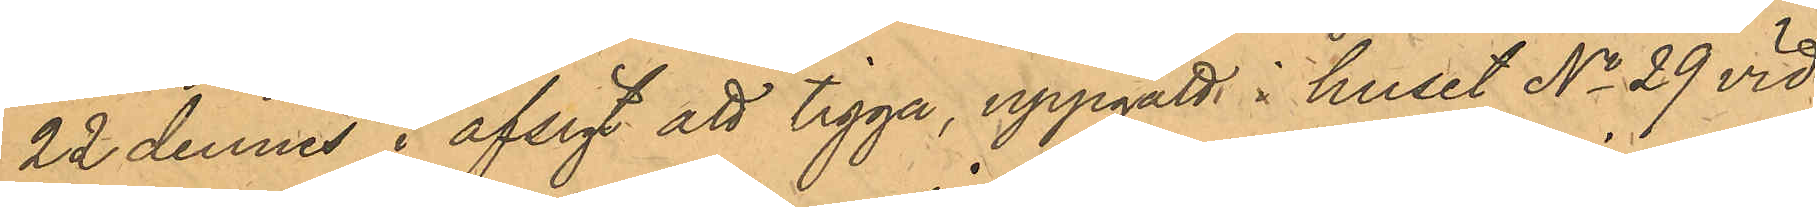22 dennes i afsigt att tigga, uppgått i huset No 29 vid
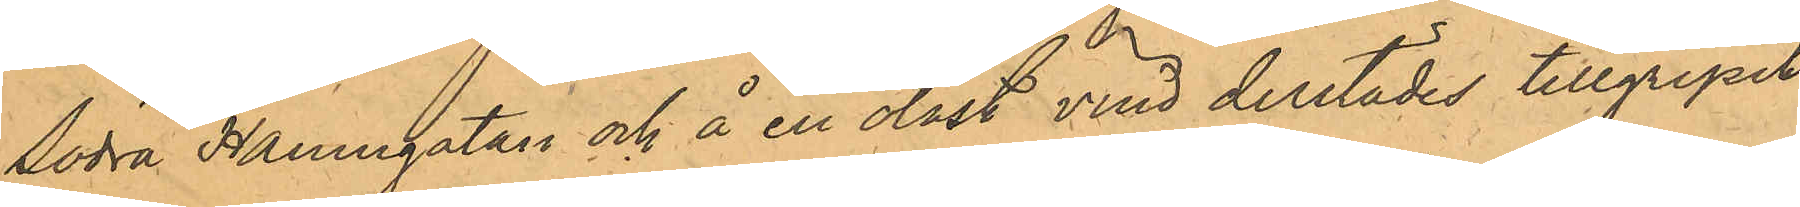Södra Hamngatan och å en olåst vind derstädes tillgripit
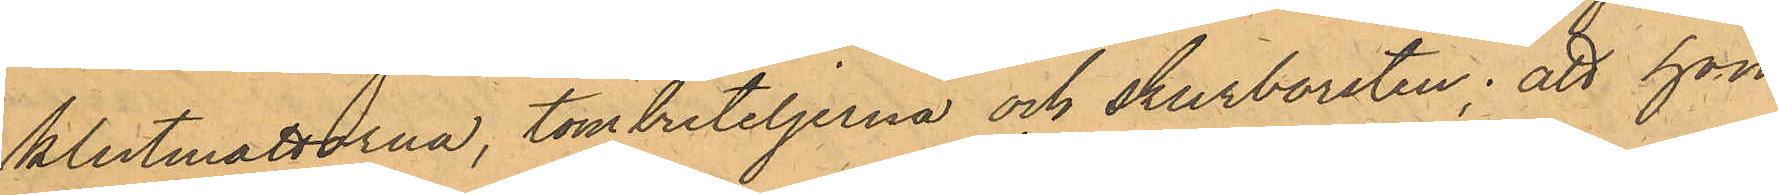klutmattorna, tombuteljerna och skurborsten; att hon
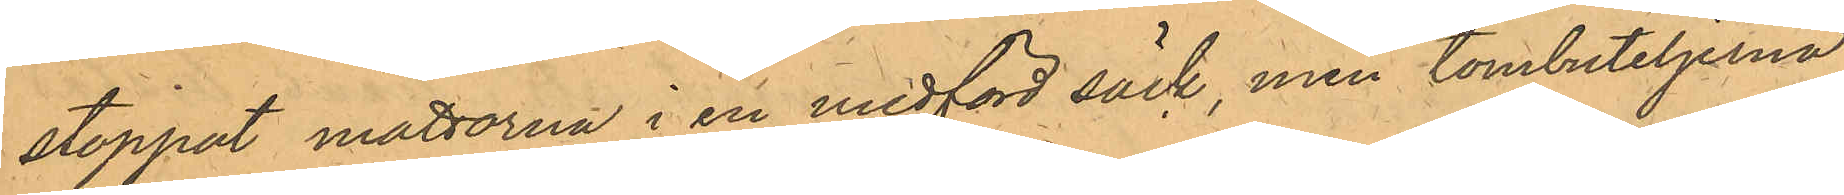stoppat mattorna i en medförd säck, men tombuteljerna
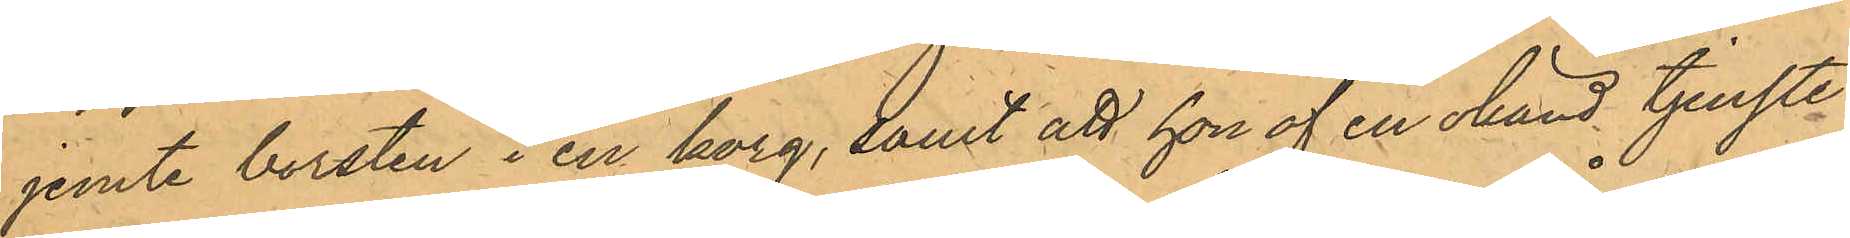jemte borsten i en korg, samt att hon af en okänd tjenste¬
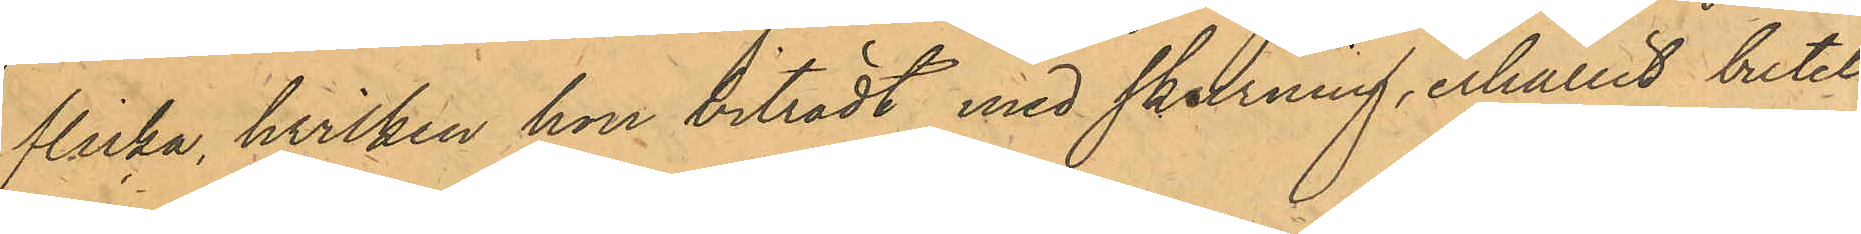flicka, hvilken hon biträdt med skurning, erhållit butel¬
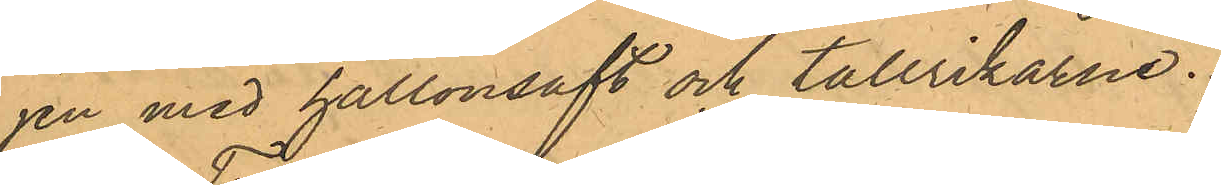jen med hallonsaft och tallrikarne.
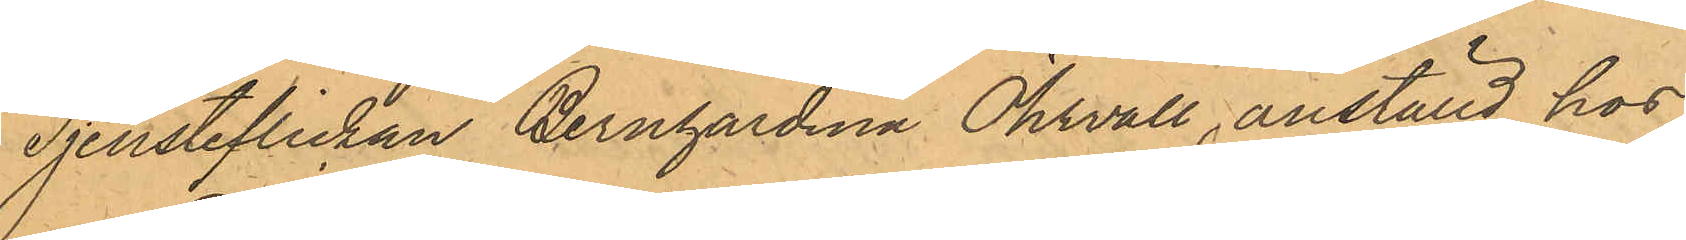Tjensteflickan Bernhardina Öhrvall, anställd hos
